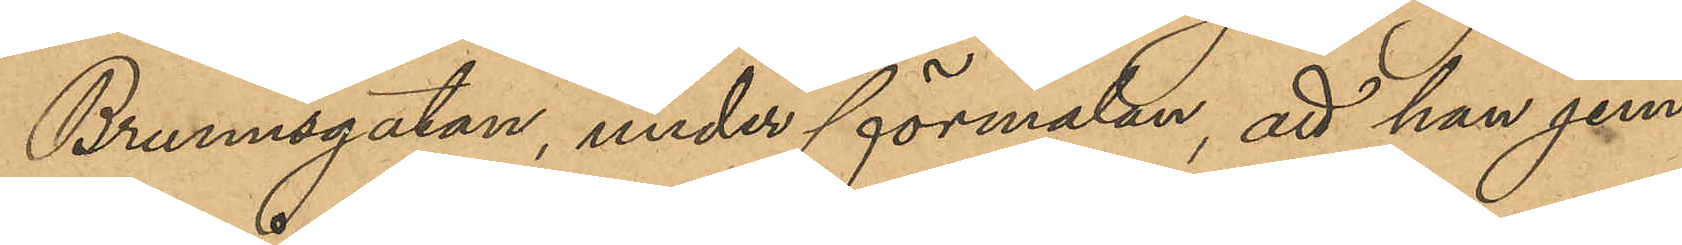Brunnsgatan, under förmälan, att han jem¬
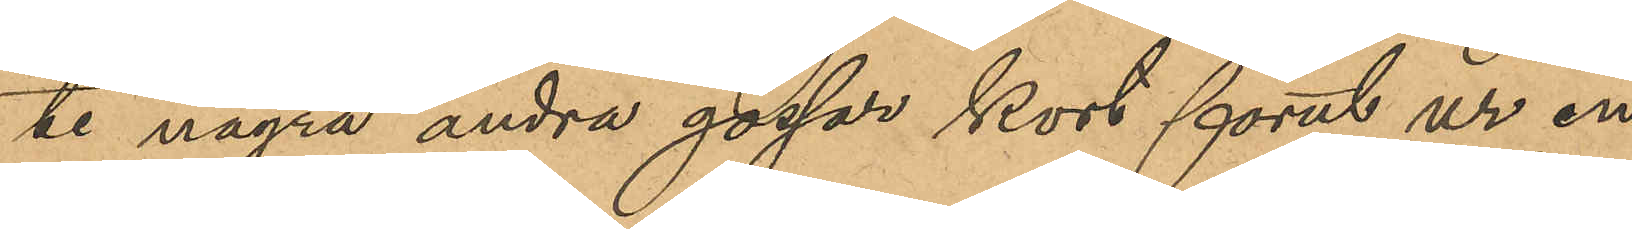te några andra gossar kort förut ur en
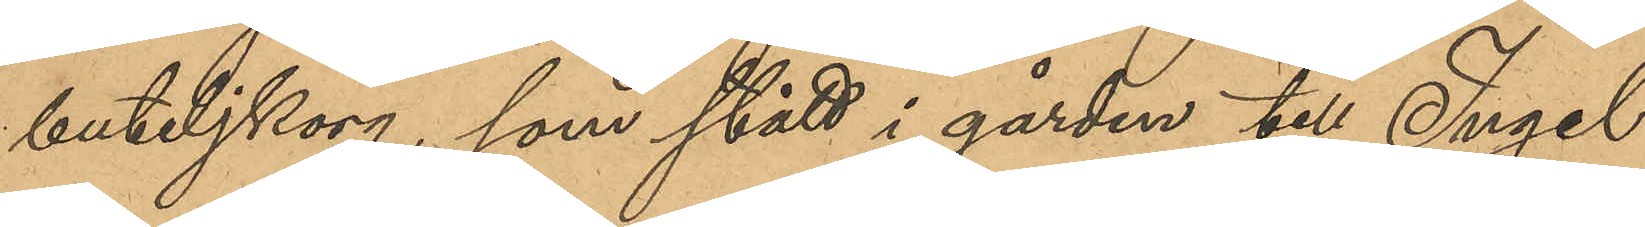buteljkorg, som stått i gården till Ingel¬
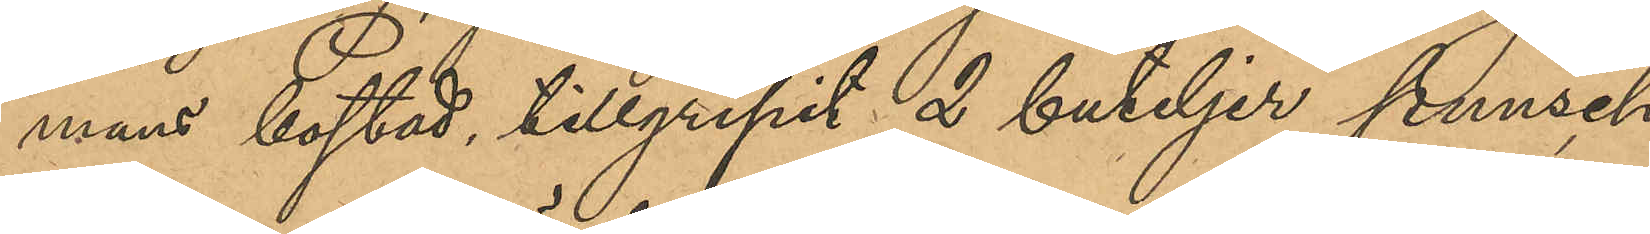mans bostad, tillgripit 2 buteljer punsch,
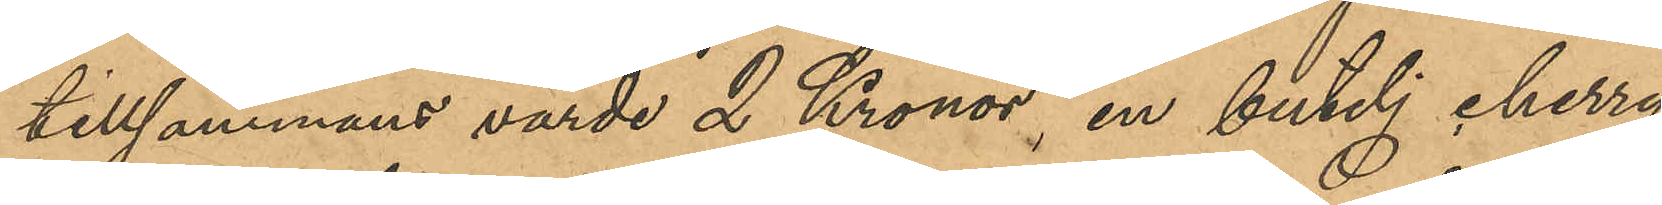tillsammans värde 2 Kronor, en butelj cherry,
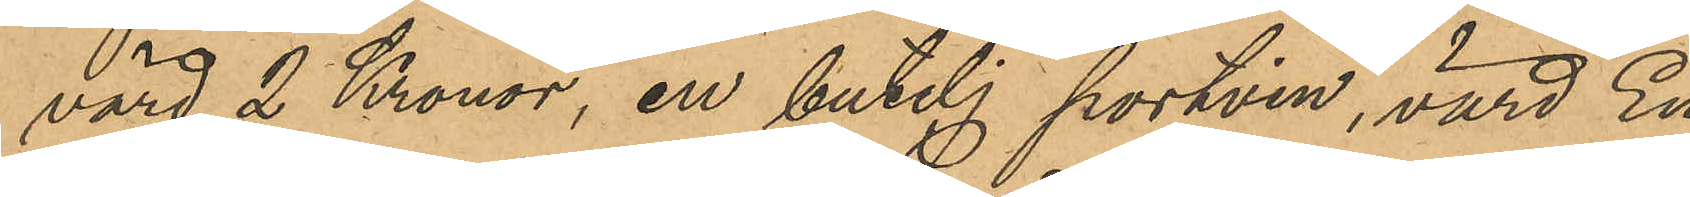värd 2 Kronor, en butelj portvin, värd En
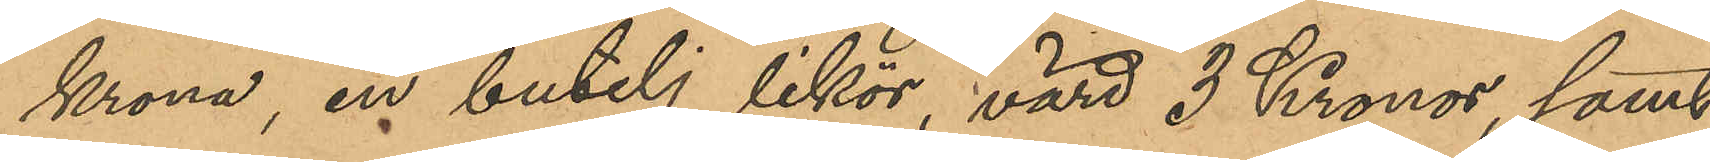krona, en butelj likör, värd 3 Kronor, samt
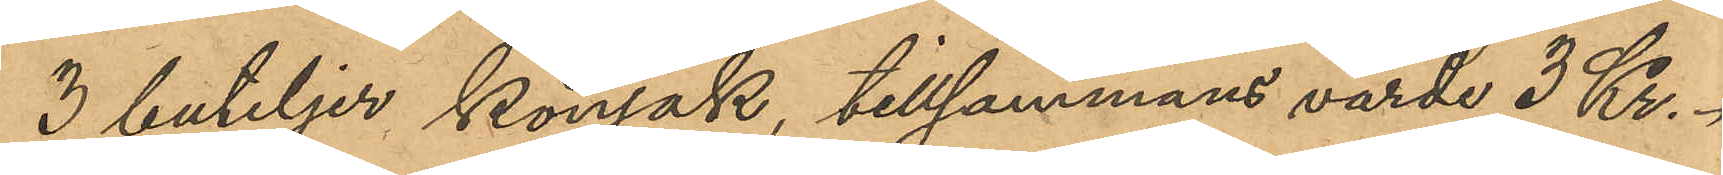3 buteljer konjak, tillsammans värde 3 Kr.
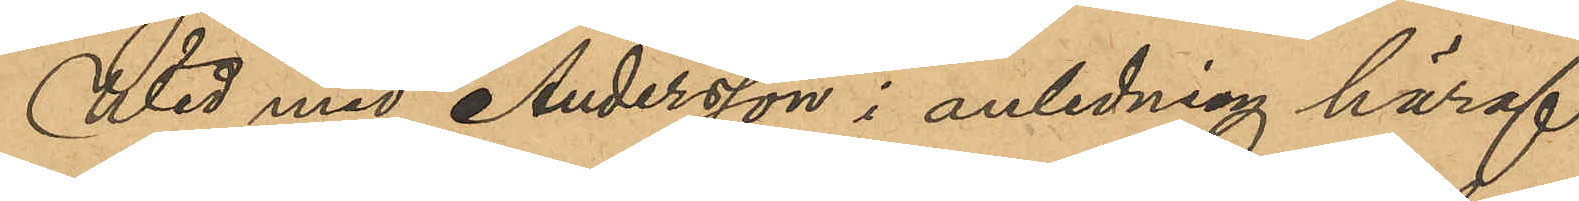Wid med Andersson i anledning häraf
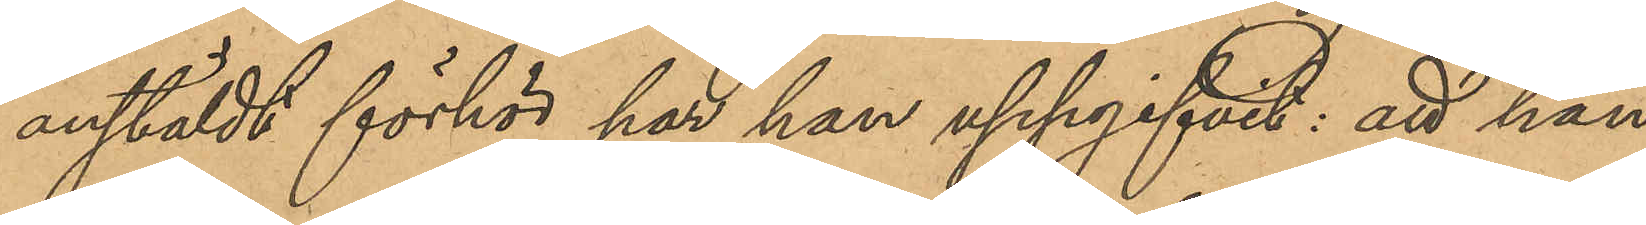anstäldt förhör har han uppgifvit: att han
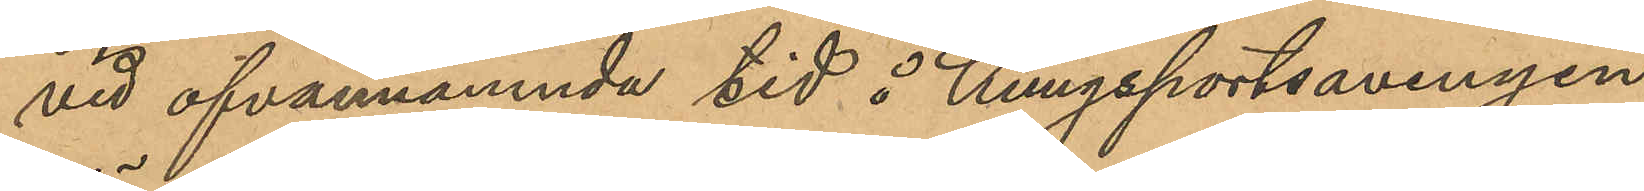vid ofvannämnde tid å Kungsportsavenyen
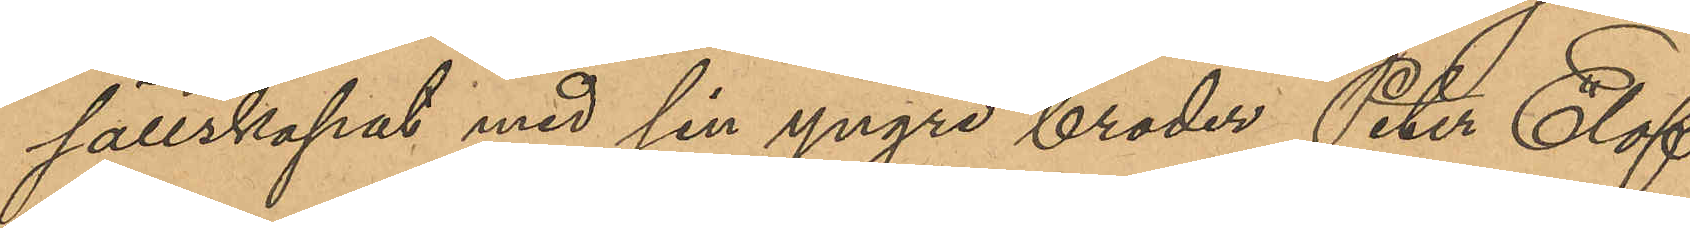sällskapat med sin yngre broder Peter Elof
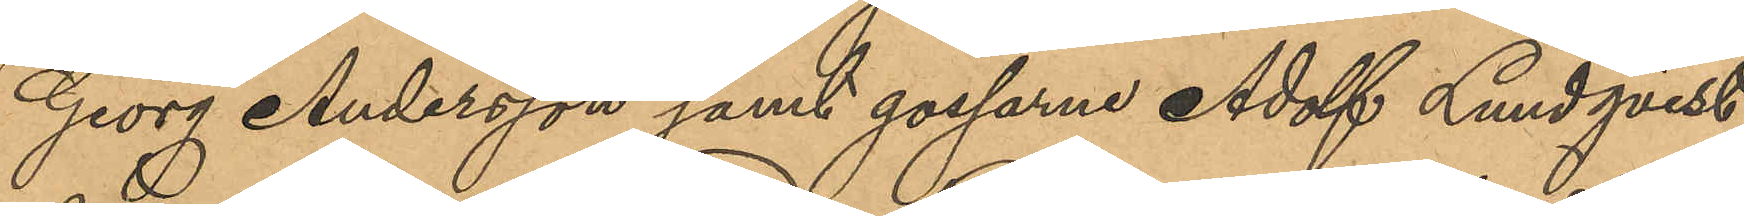Georg Andersson samt gossarne Adolf Lundqvist,
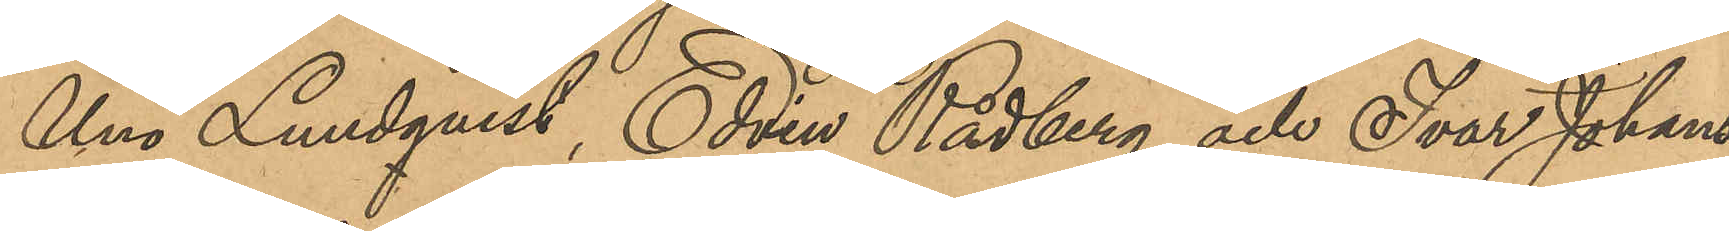Uno Lundqvist, Edvin Rådberg och Ivar Johans¬
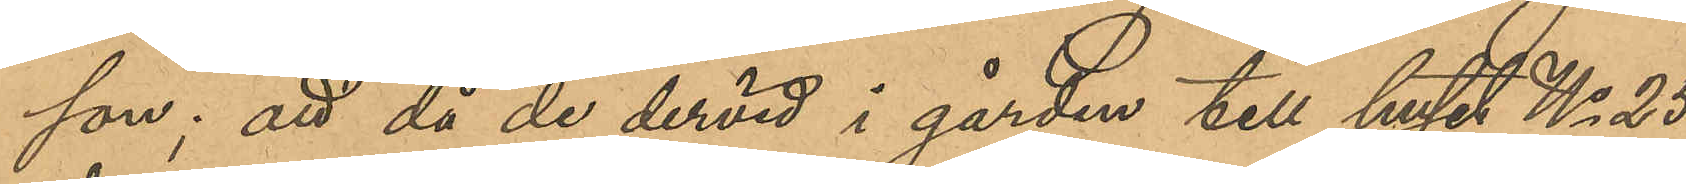son; att då de dervid i gården till huset No 25
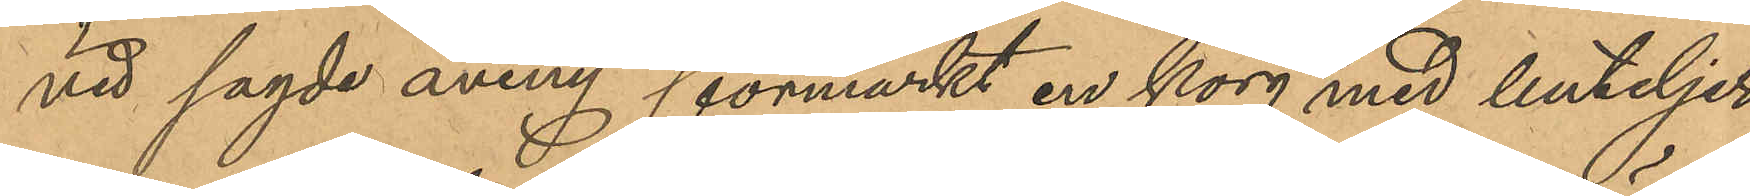vid sagde aveny förmärkt en korg med buteljer
